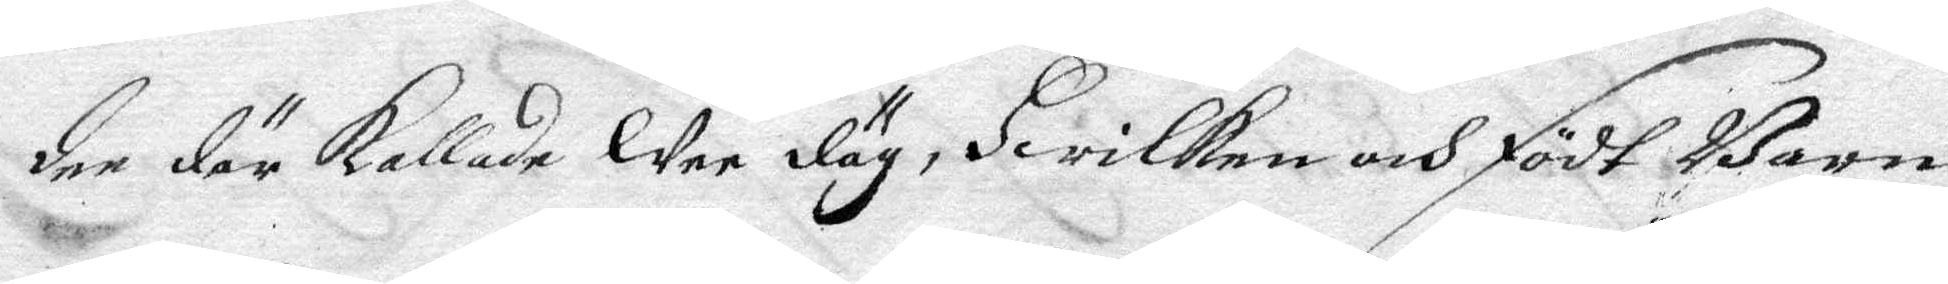dee där kallade Wee däg, Hwilken och födt Barn
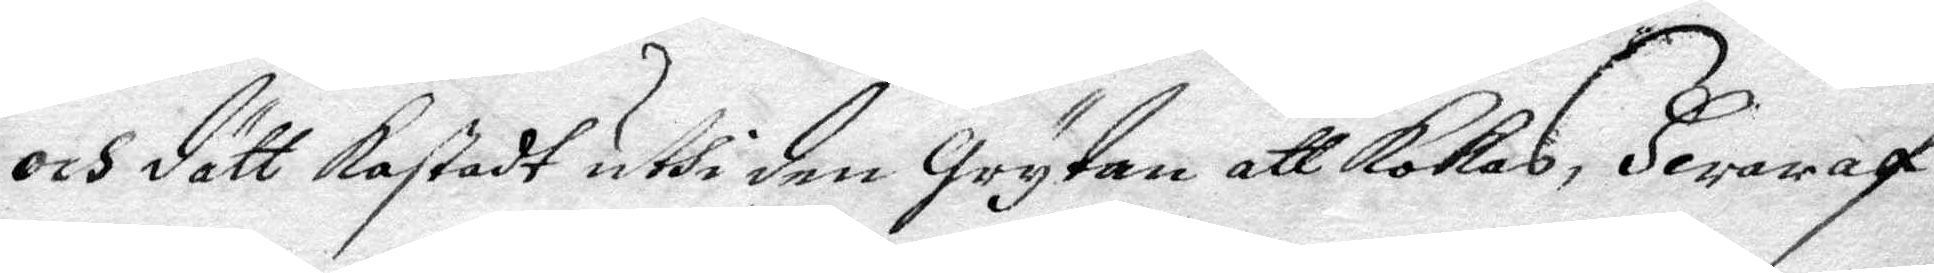och dätt kastadt uthi den Grytan att kokas, Hwaraf
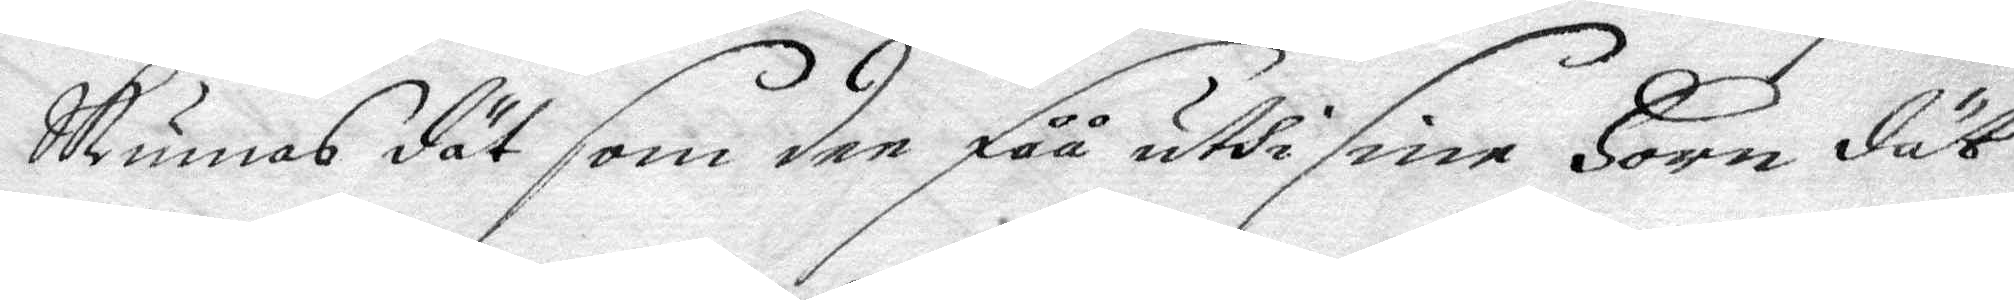skunnas dät som den fåå uthi sine Horn dät
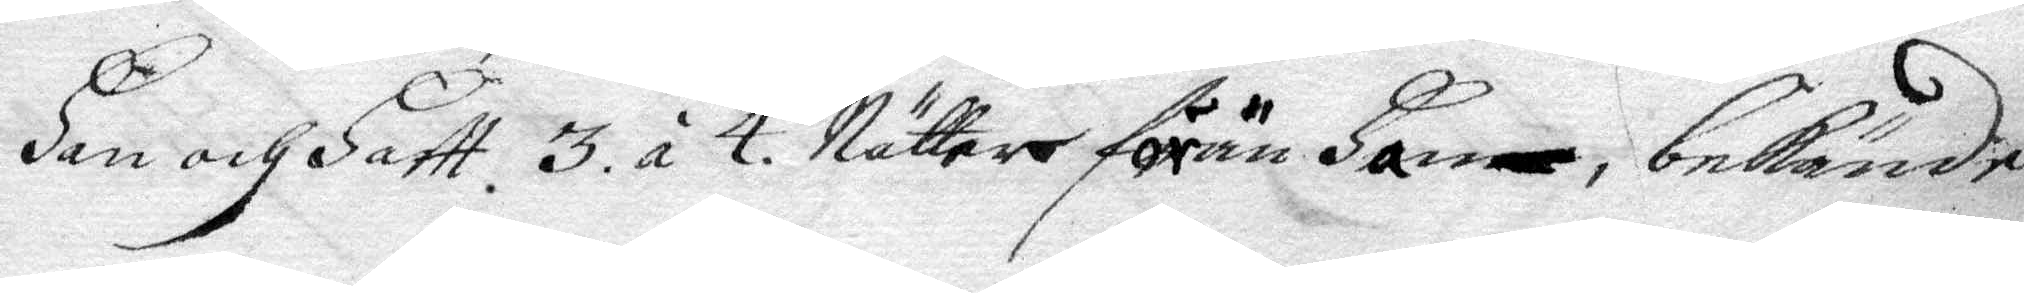Han och Haftt 3 á 4 Nätter förän Han bekände
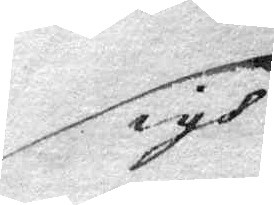sigh
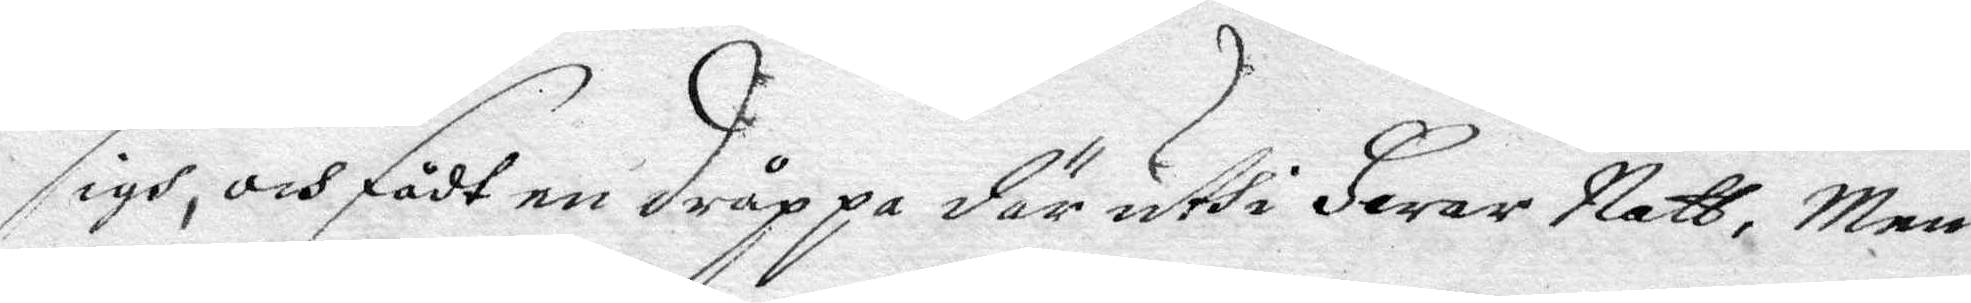sigh, och fådt en dråppa där uthi Hwar natt, Men
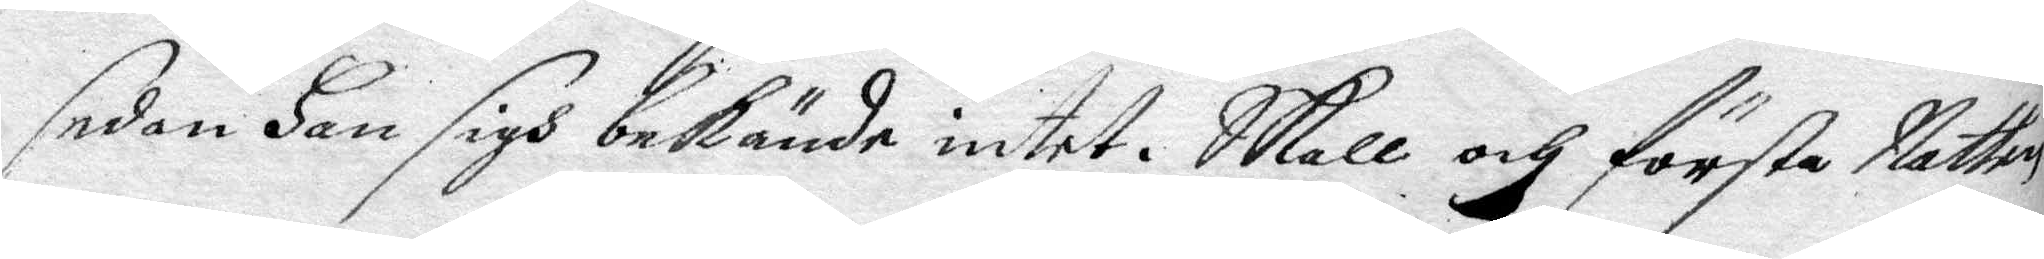sedan Han sigh bekände intet. Skall och första Natten
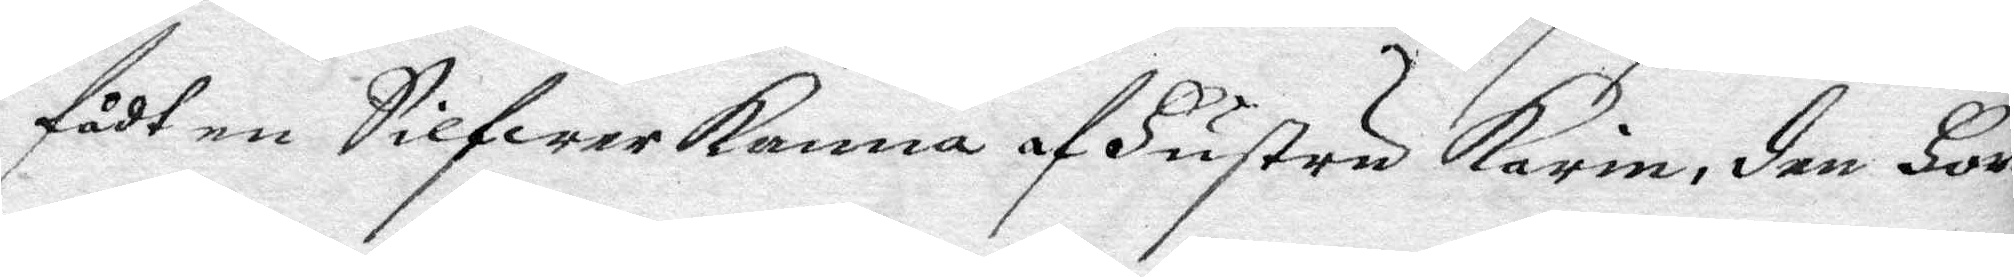fådt en Silfwerkanna af Hustru Karin, den Hon
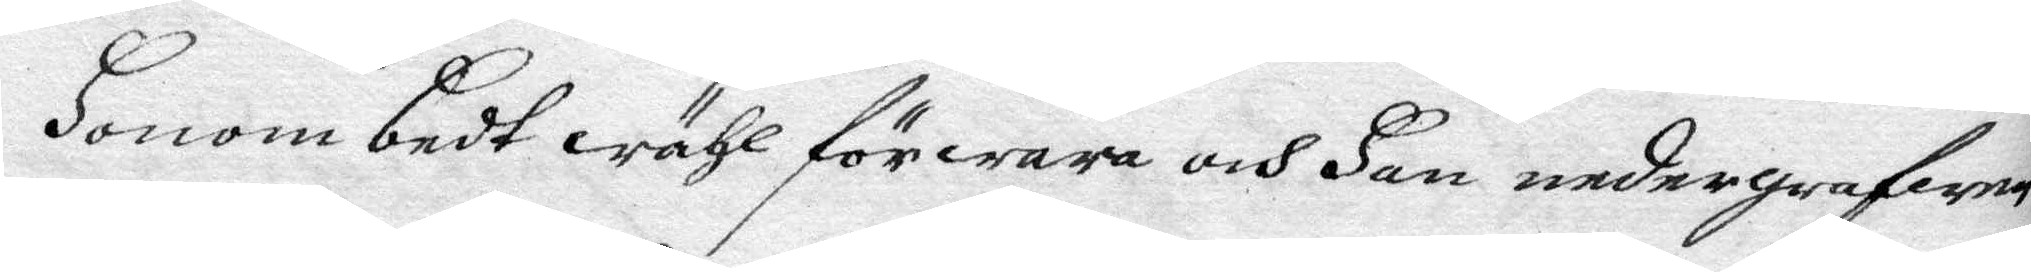Honom bedt wähl förwara och Han nedergrafwen
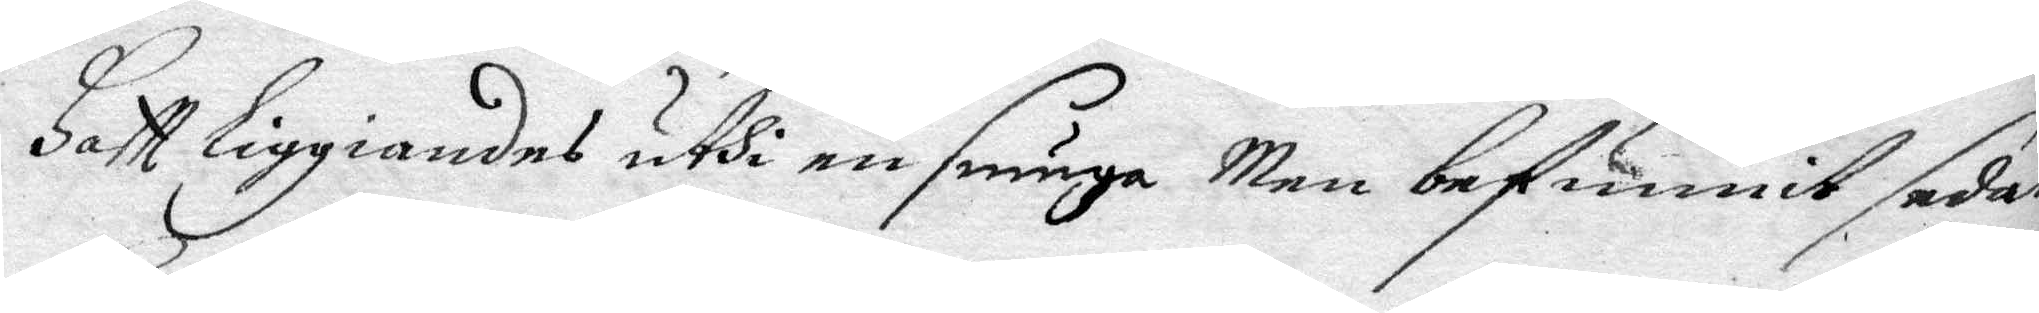Haftt liggiandes uthi en smuga Men befunnit sedan
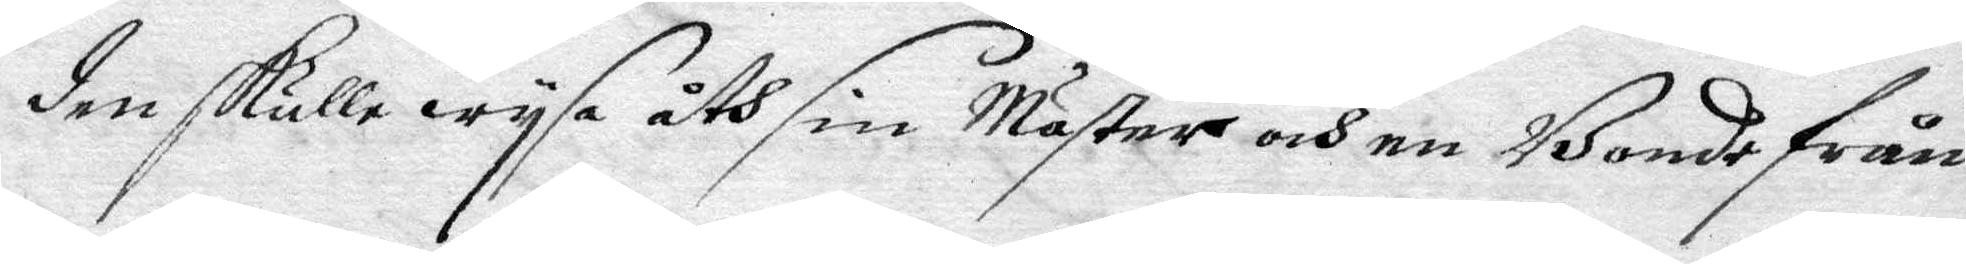den skulle wysa åth sin Moster och en Bonde från
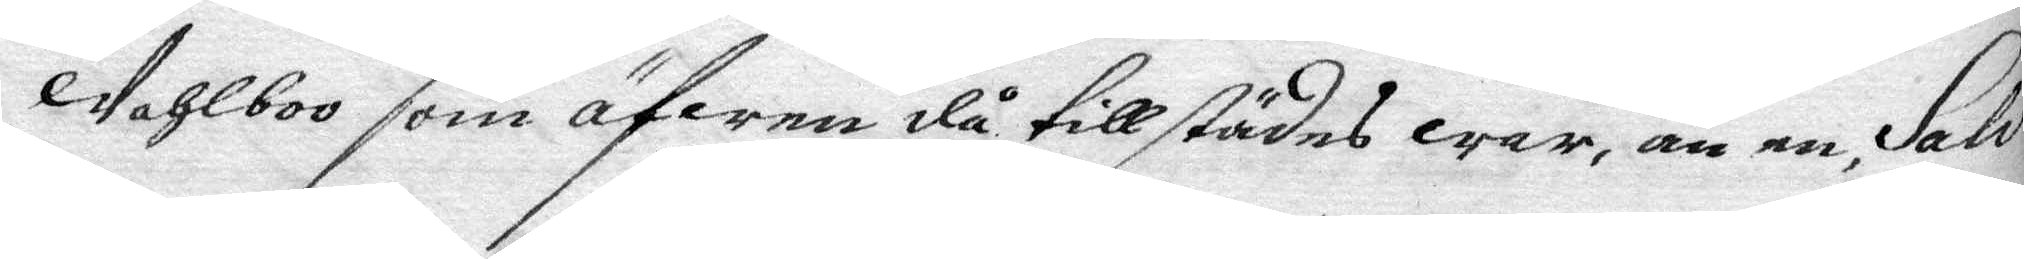Wahlboo som äfwen då till städes war, än en Salv
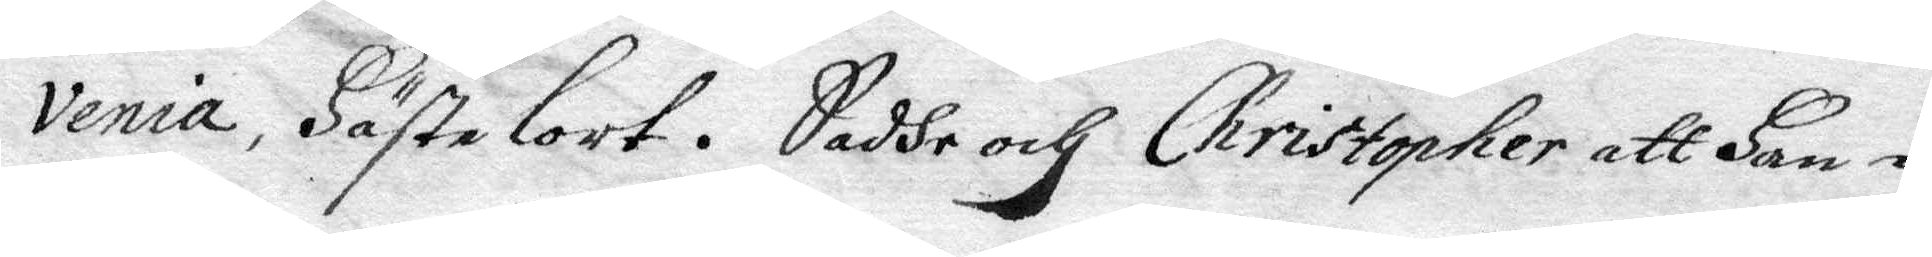venia, Hästelort. Sadde och Christopher att Han i
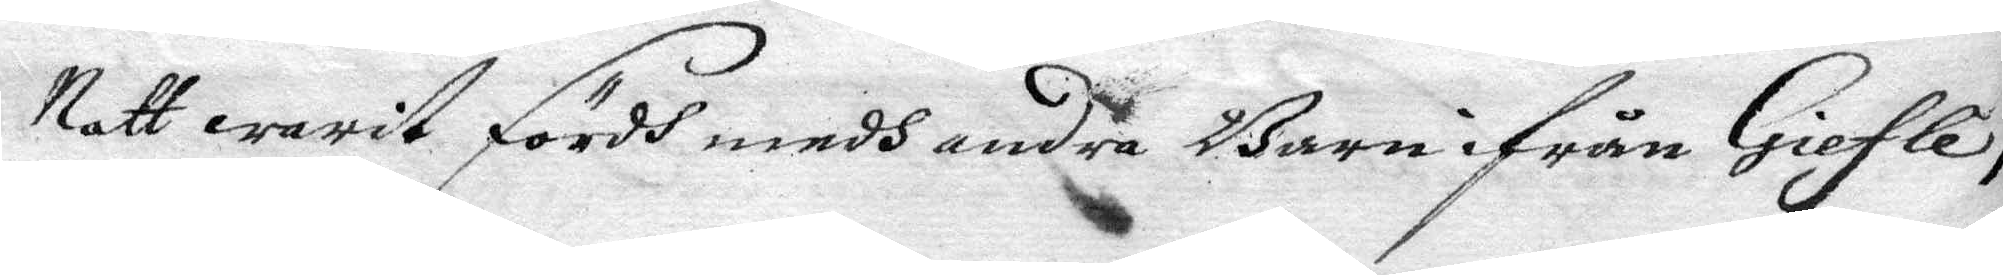Natt warit fördh medh andra Barn ifrån Giefle;
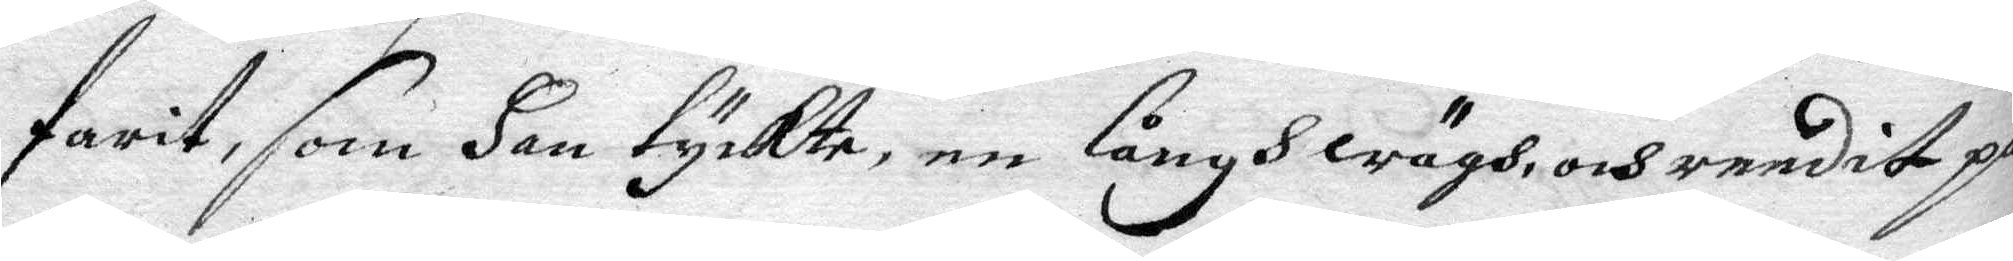farit, som Han tyckte, en långhwägh, och reedit på
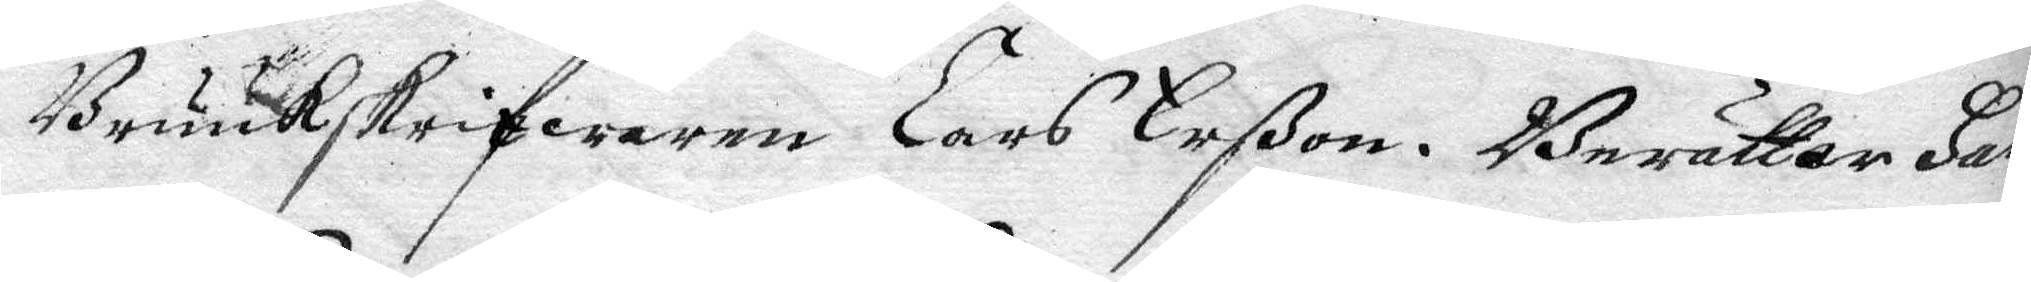Bruukskrifwaren Lars Erßon. Berättar Han
